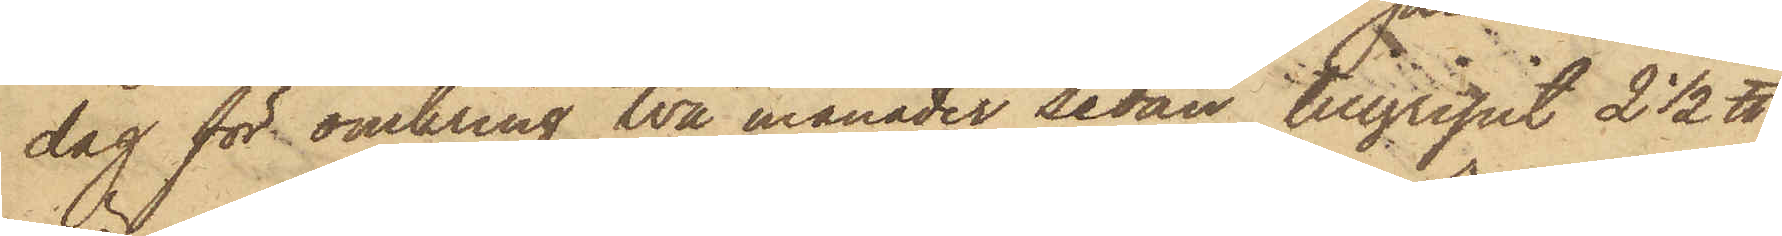dag för omkring två månader sedan tillgripit 2 1/2 ℔,
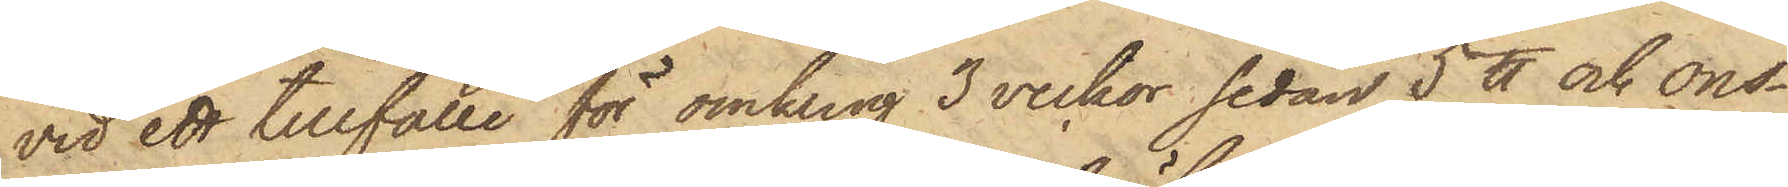vid ett tillfälle för omkring 3 veckor sedan 5 ℔ och ons¬
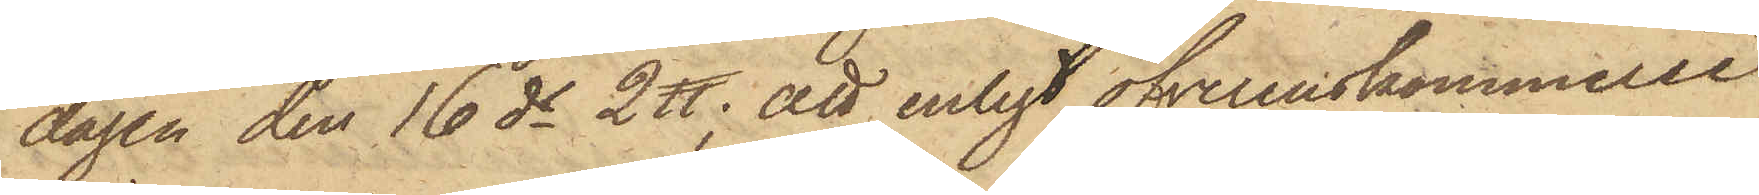dagen den 16 ds 2 ℔; att enligt öfverenskommelse
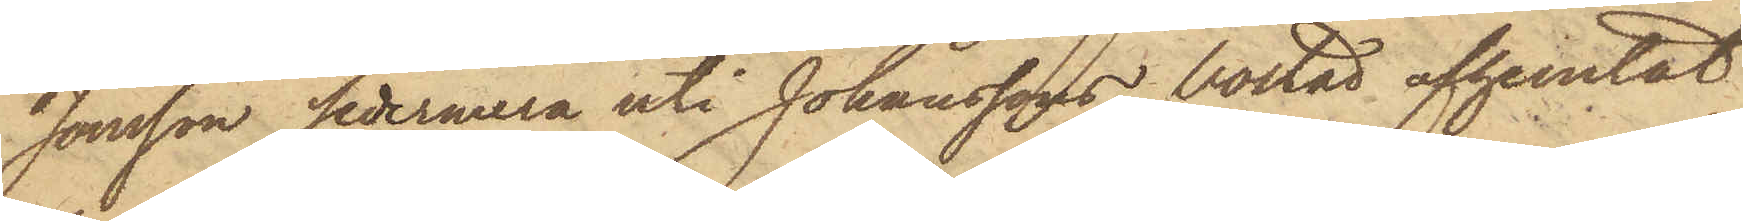Jonsson sedermera uti Johanssons bostad afhemtat
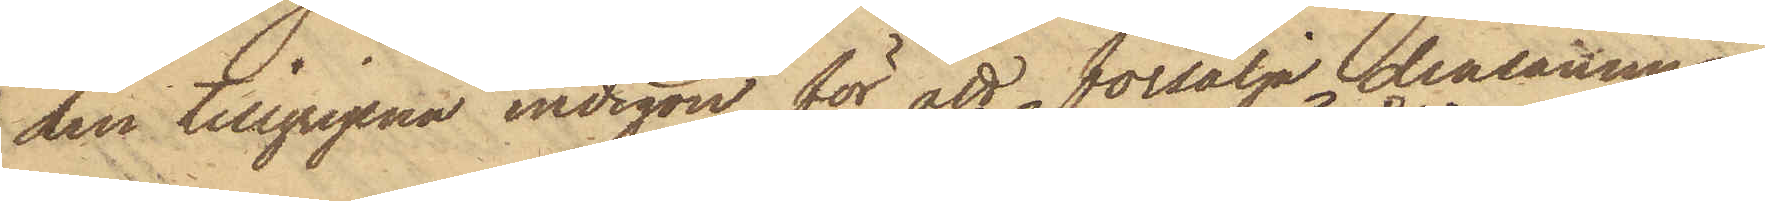den tillgripna indigon för att försälja densamma
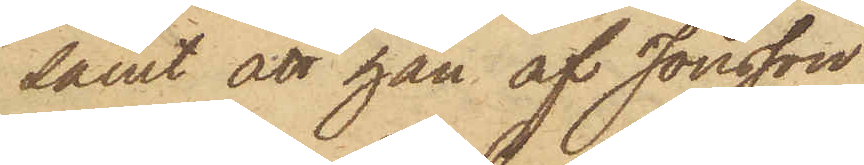samt att han af Jonsson
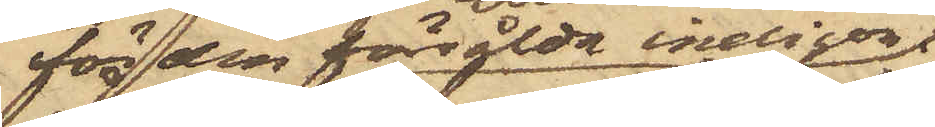för den försålda indigon
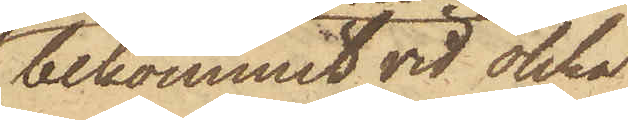bekommit vid olika
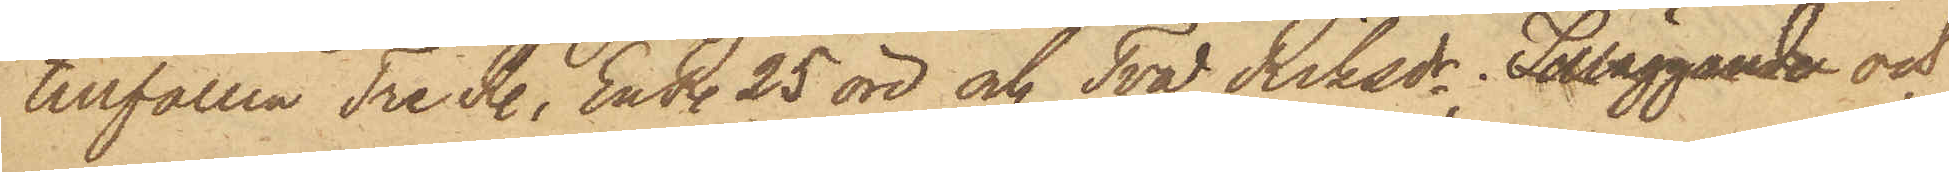tillfällen Tre R., En R. 25 öre och Två Riksdr; Tilläggande och
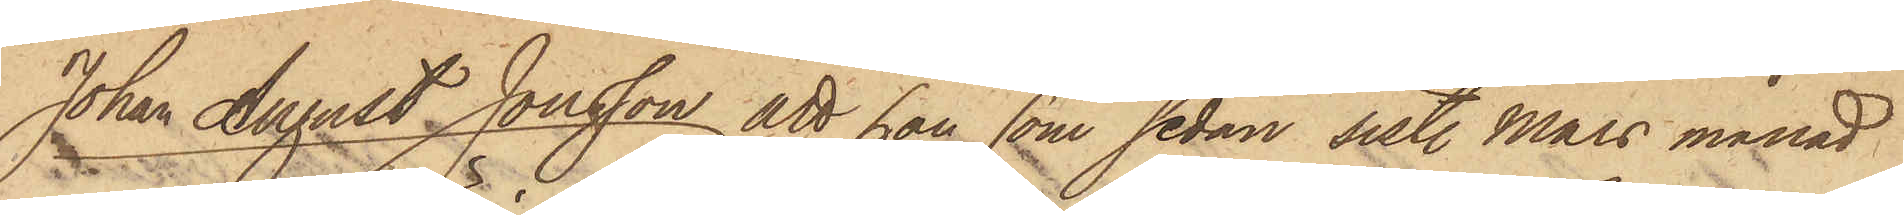Johan August Jonsson att han som sedan sist. Mars månad
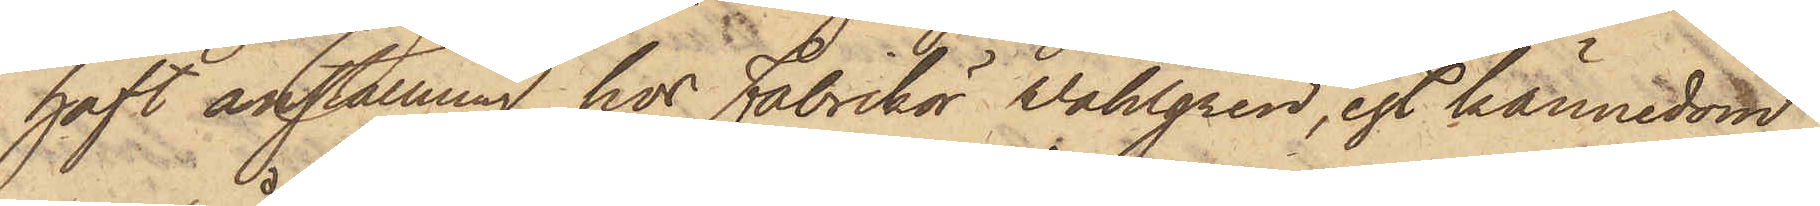haft anställning hos Fabrikör Wahlgren, egt kännedom
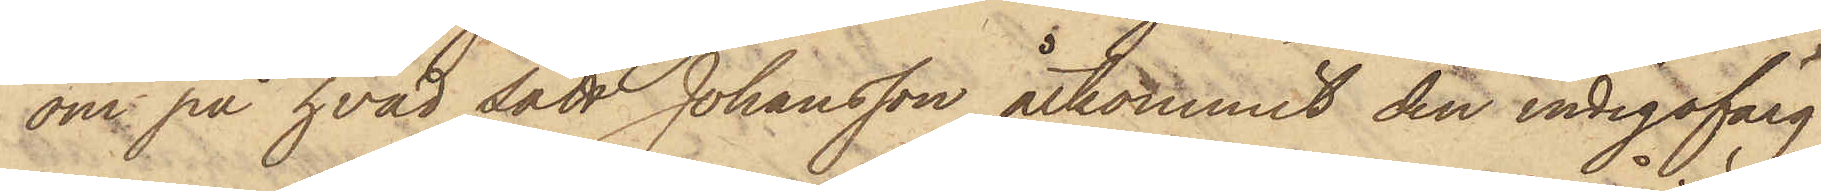om på hvad sätt Johansson åtkommit den indigofärg,
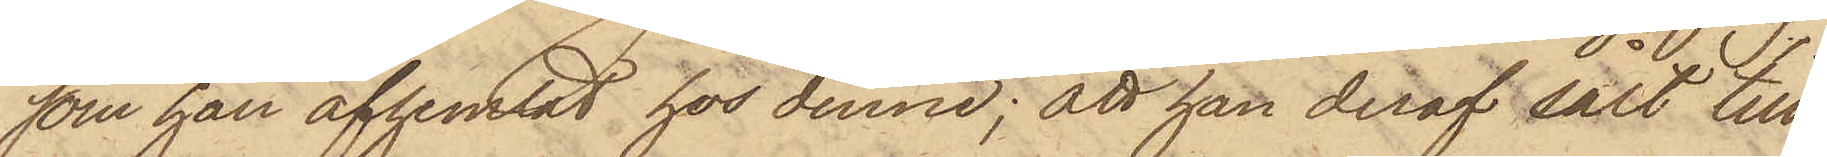som han afhemtat hos denne; att han deraf sålt till
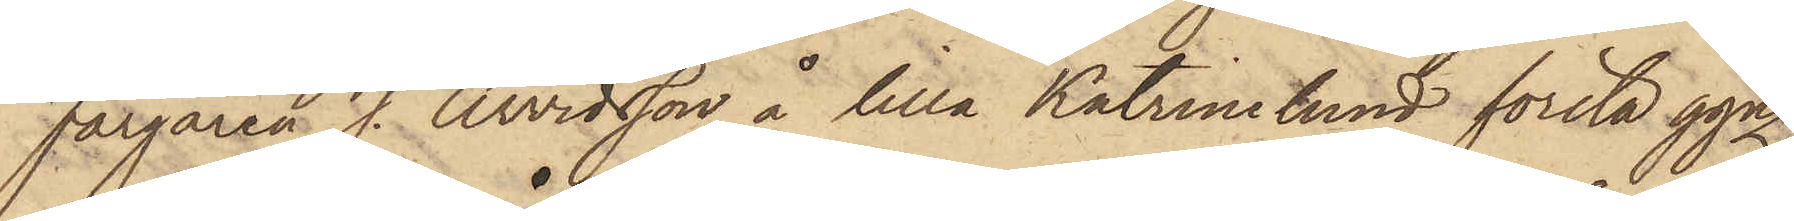Färgaren J. Arvidsson å lilla Katrinelund första ggn
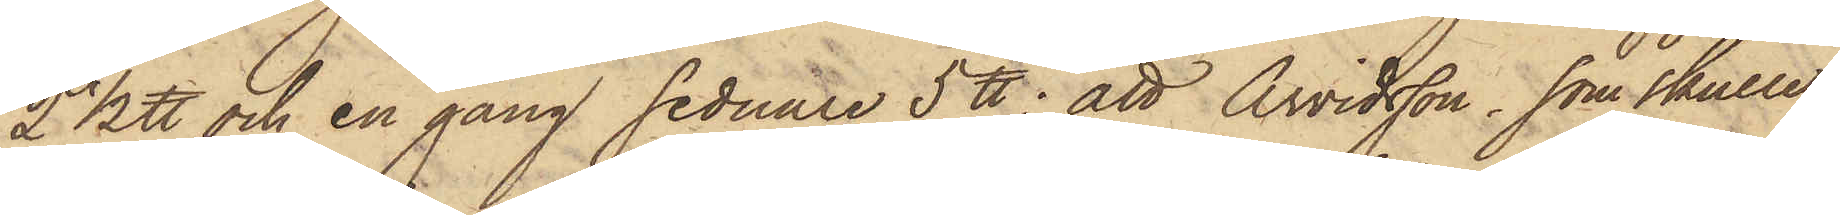2 1/2 ℔ och en gång sednare 5 ℔; att Arvidsson, som skulle
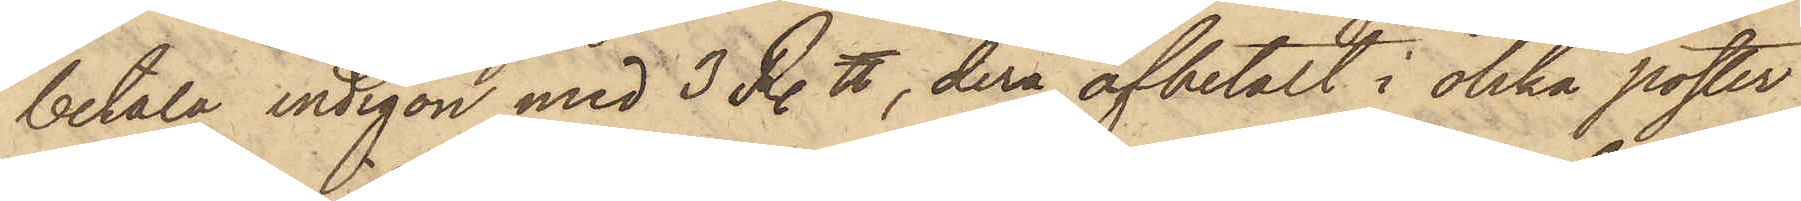betala indigon med 3 R. ℔, derå afbetalt i olika poster
